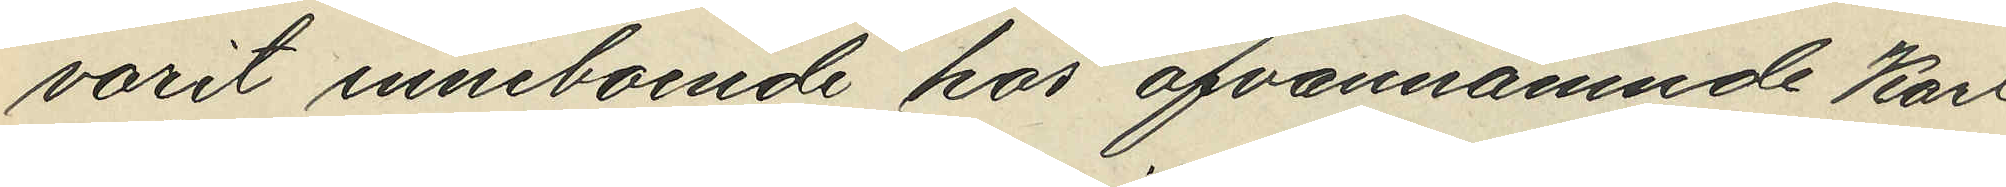varit inneboende hos ofvannämnde Karl
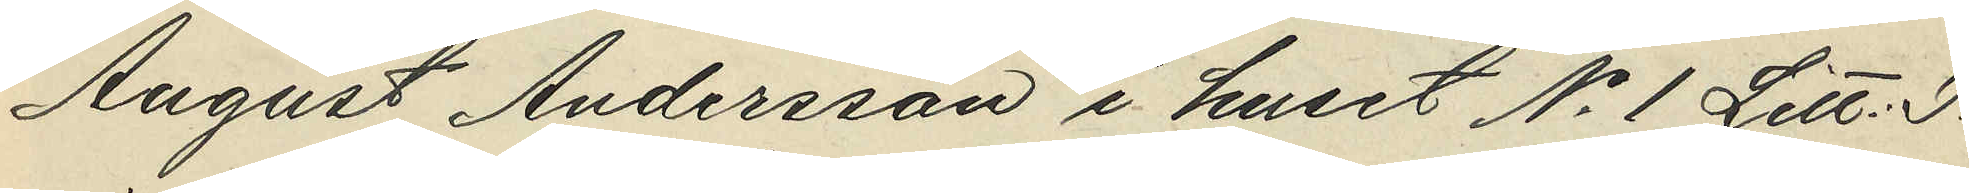August Andersson i huset No 1 Litt. J
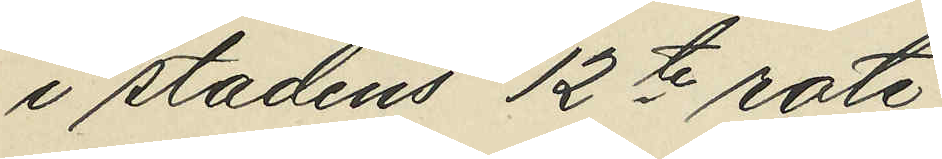i stadens 12te rote;
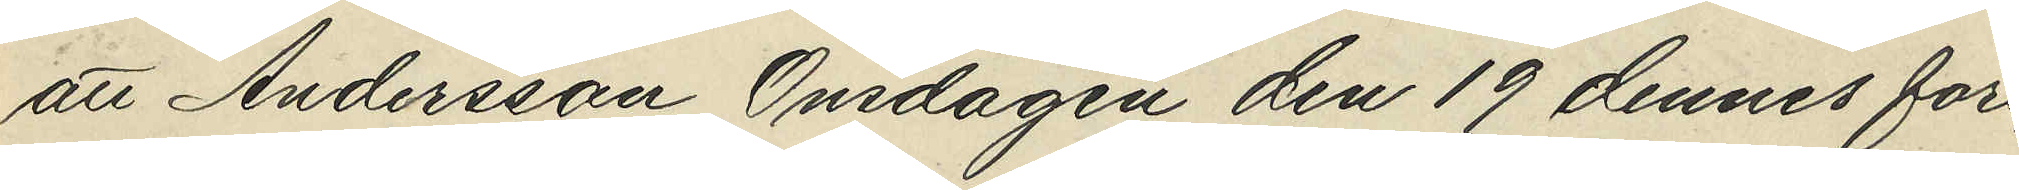att Andersson Onsdagen den 19 dennes före¬
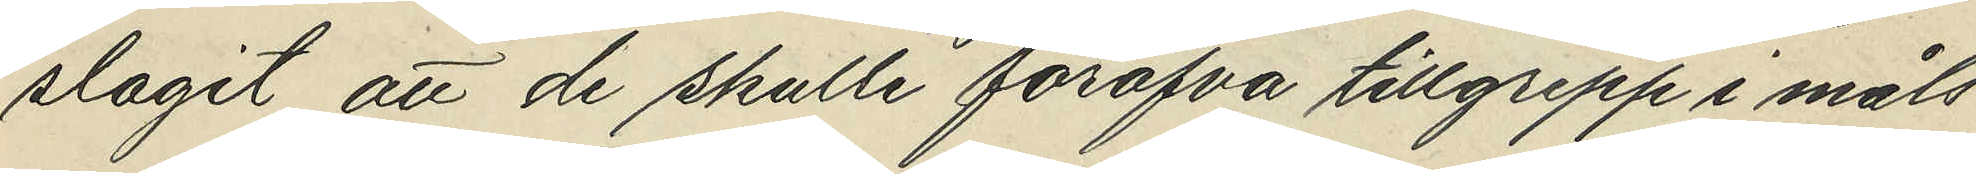slagit att de skulle föröfva tillgrepp i måls¬
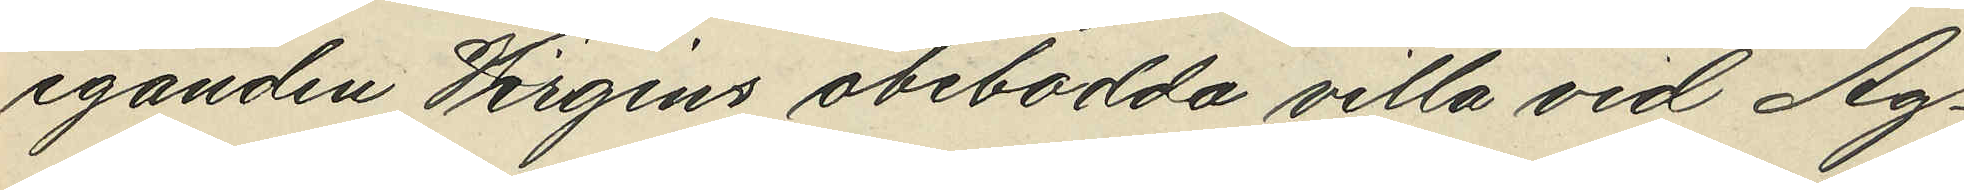eganden Wirgins obebodda villa vid Ag¬
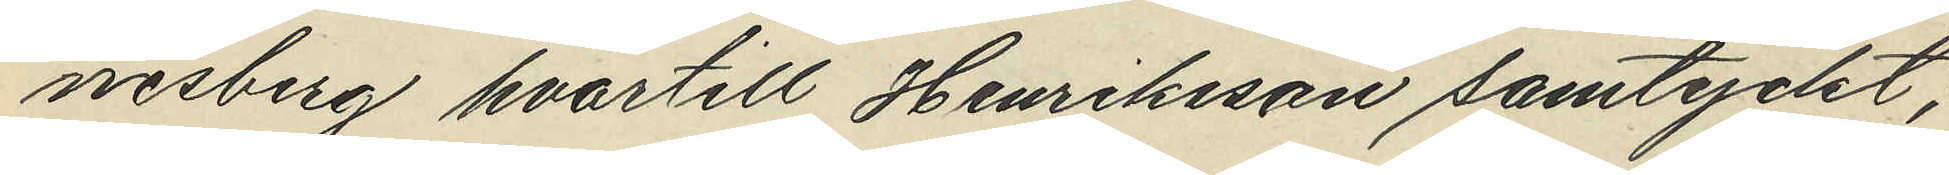nesberg hvartill Henriksson samtyckt;
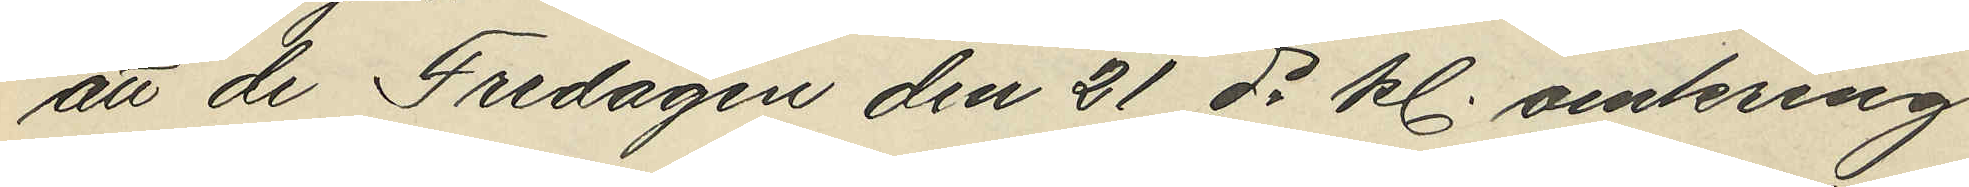att de Fredagen den 21 ds kl. omkring
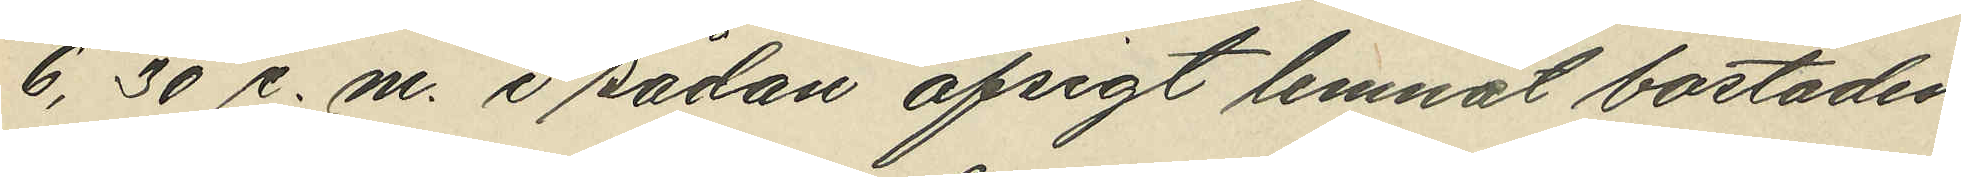6,30 e.m. i sådan afsigt lemnat bostaden
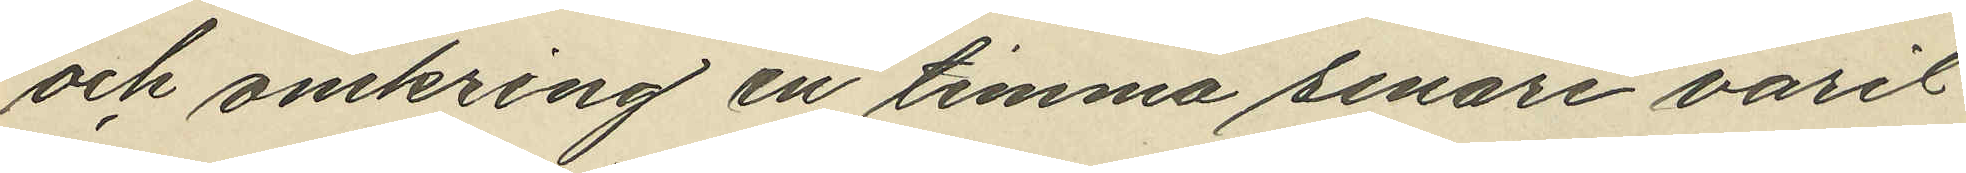och omkring en timma senare varit
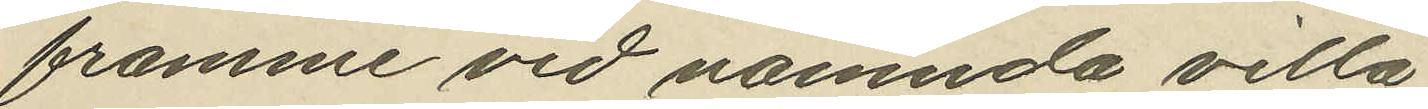framme vid nämnda villa;
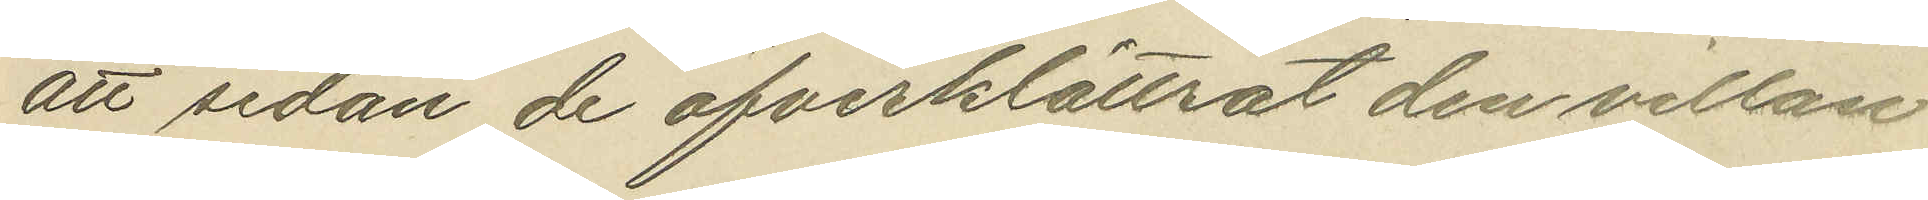att sedan de öfverklättrat den villan
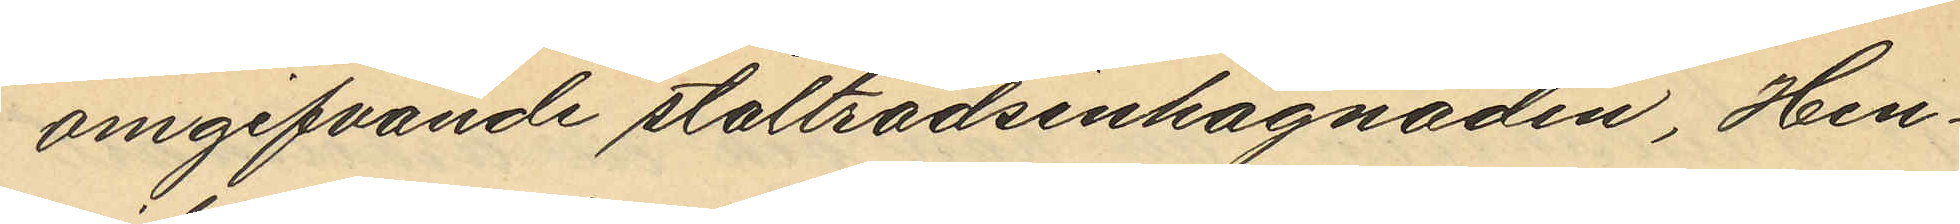omgifvande ståltrådsinhägnaden, Hen¬
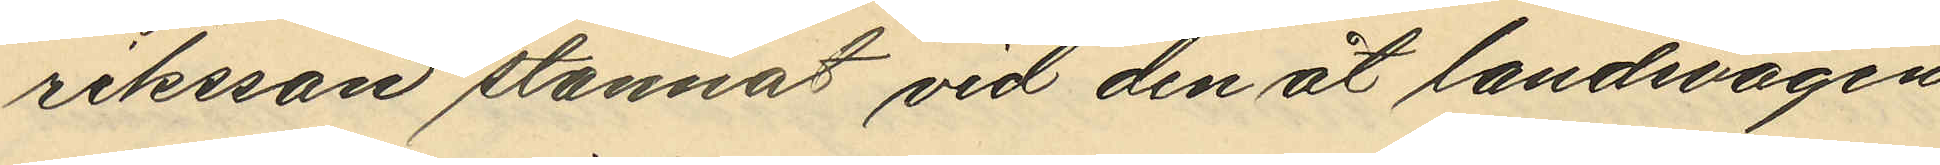riksson stannat vid den åt landsvägen
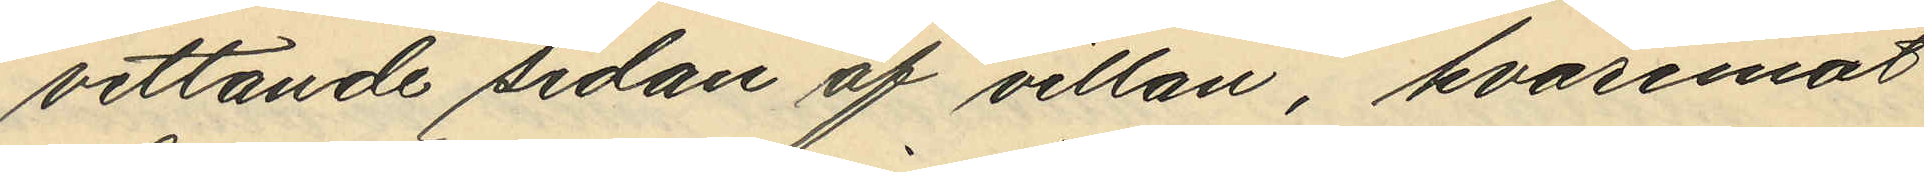vettande sidan af villan, hvaremot
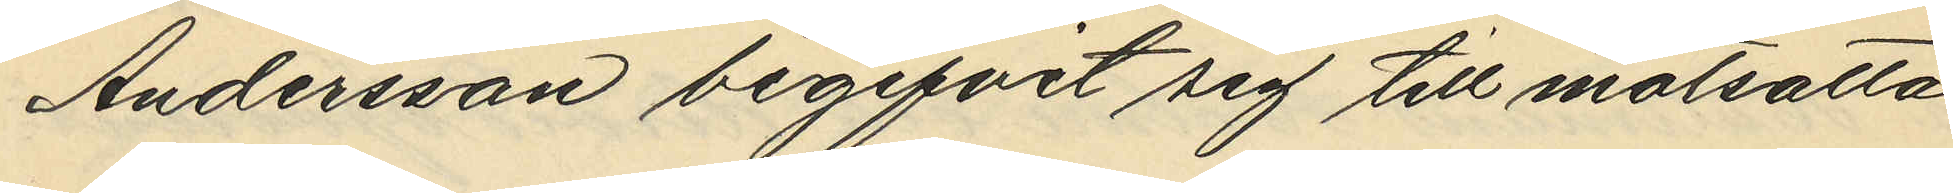Andersson begifvit sig till motsatta
